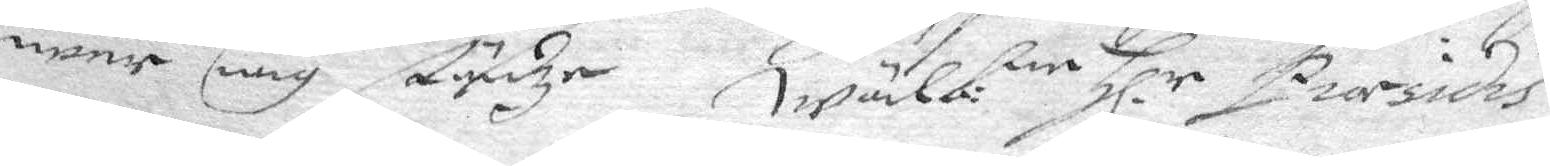weer iag städze. wälb:e Hl.r Presidis
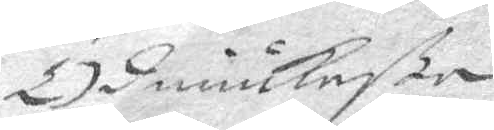Ödmiukheste
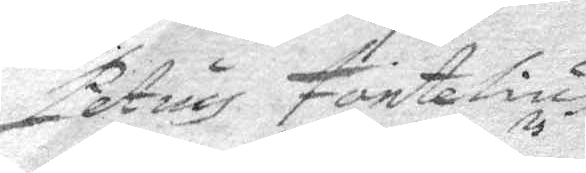Petrus Fontelius
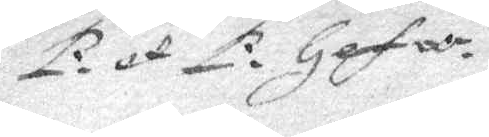P. et P. Gefle.
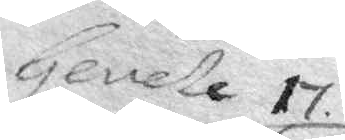Gevele 17
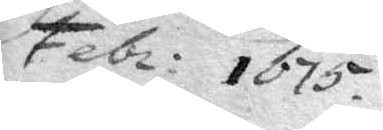Febr: 1675
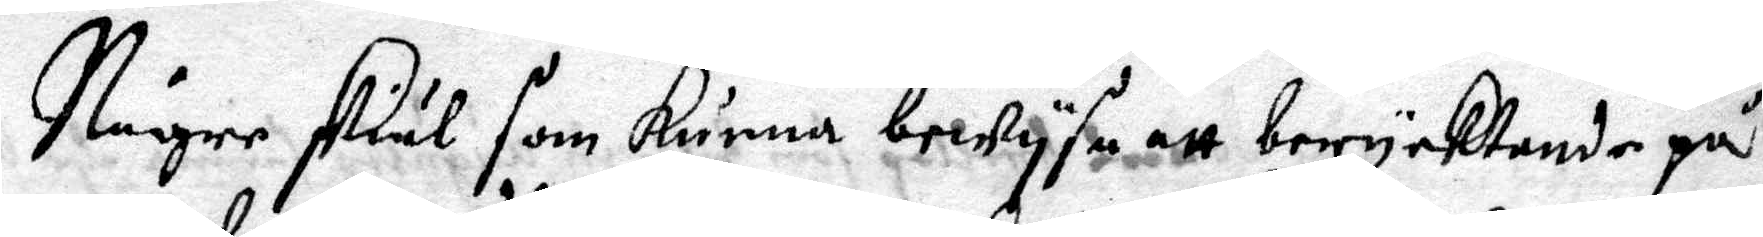Någre skiäl som kunna bewysa att berycktende på
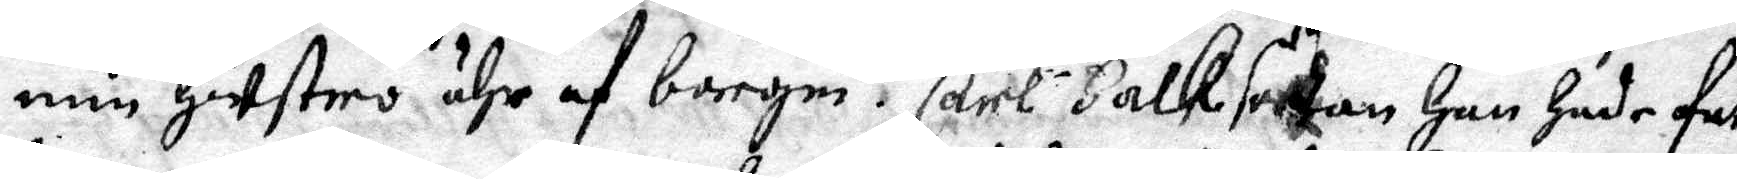min hustro ähr af borgm.r Carl Falk sedhan han hade fa¬
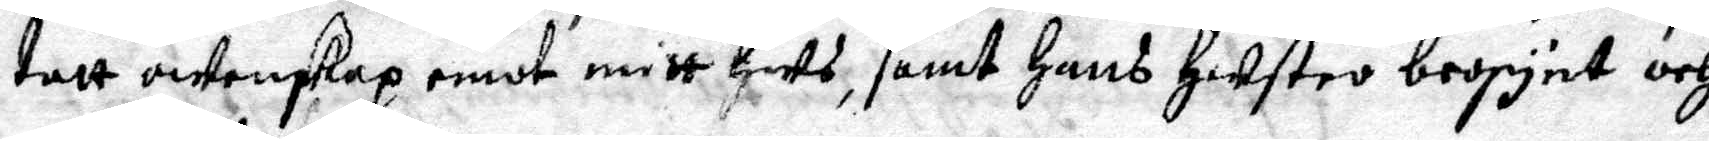tatt owenskap emot mitt hus, samt hans hustro begynt och
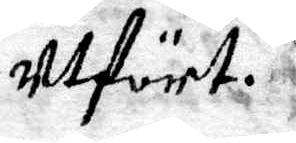utfört.
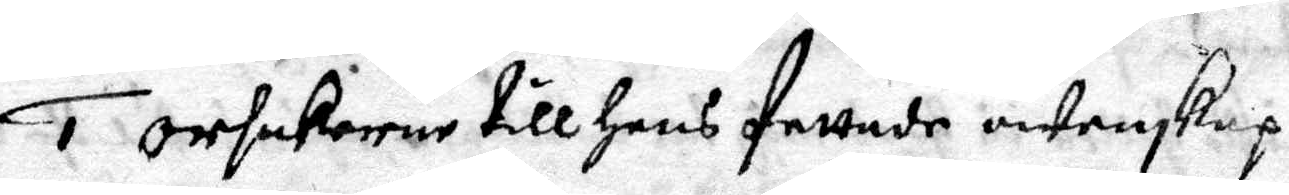1 Orsakerne till hans fattade owenskap
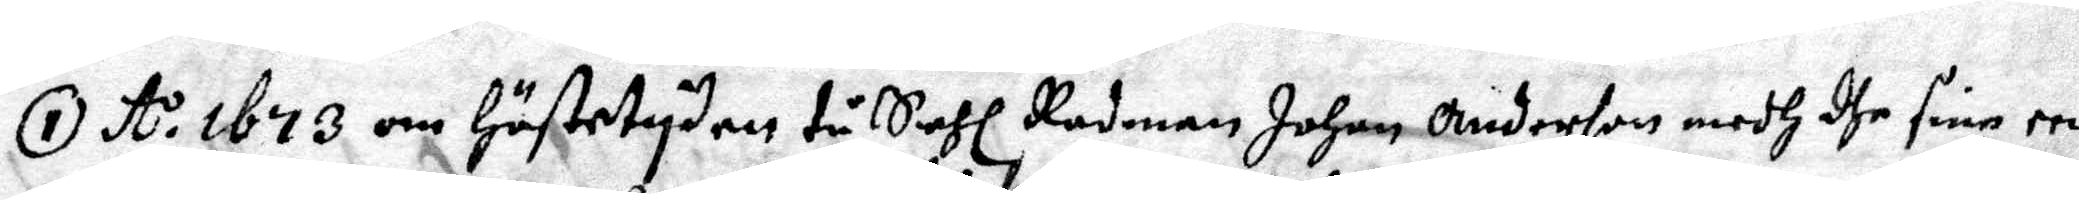1 A:o 1673 om Höstetyden tå Sahl Rådman Johan Anderson medh dhe sine een
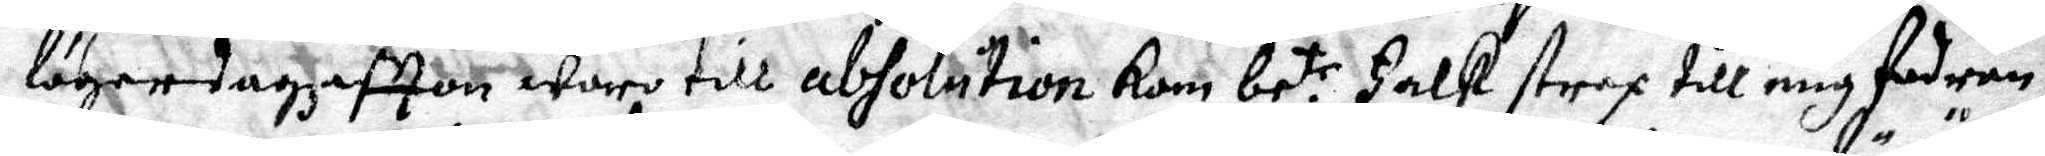lögerdagz afton woro till absolution Kom be:te Falk strax till mig fodran¬
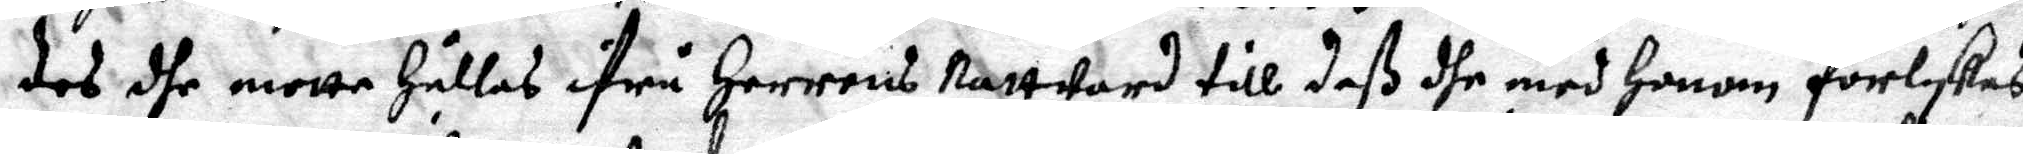des dhe motte Hållas ifrå Herrens Nartward till deß dhe med honom förlykas
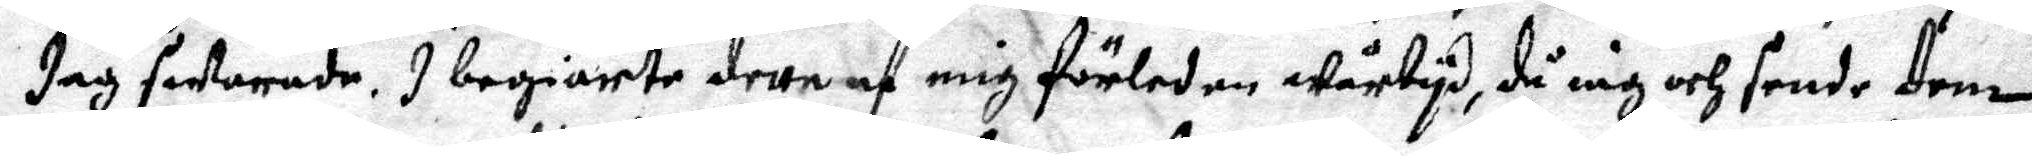Jag swarade, I begiärte dette af mig förleden Wårtyd, då iag och sende dem
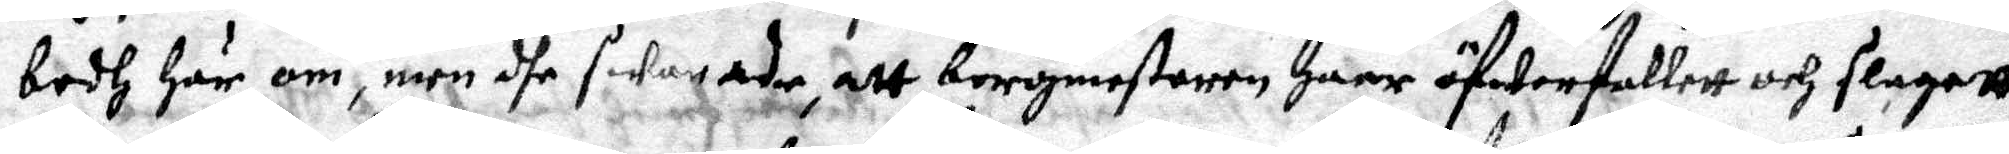bodh här om, men dhe swarade, att borgmestaren Haar öfwerfallett och slagett
